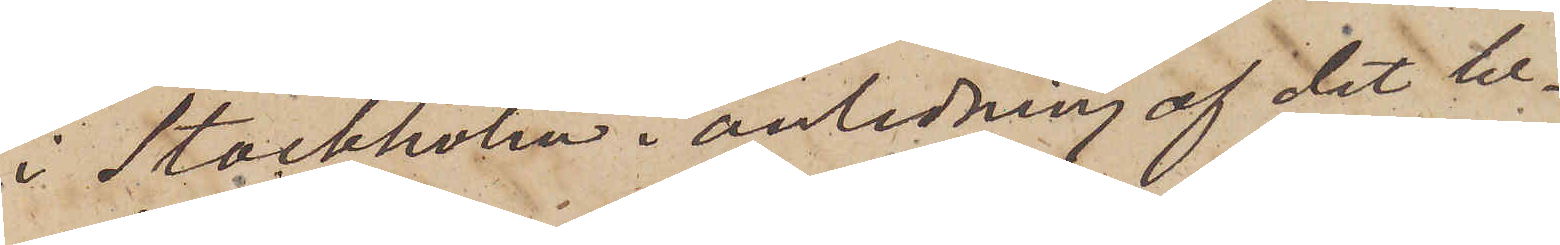i Stockholm i anledning af det be¬
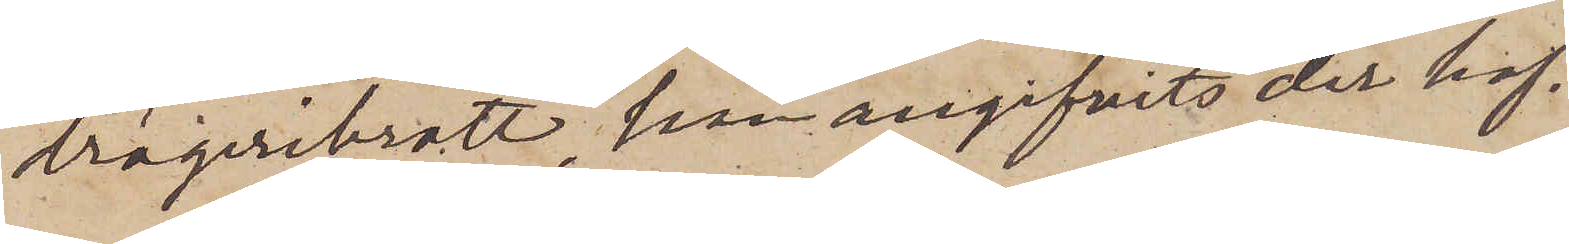drägeribrott, som angifvits der haf¬
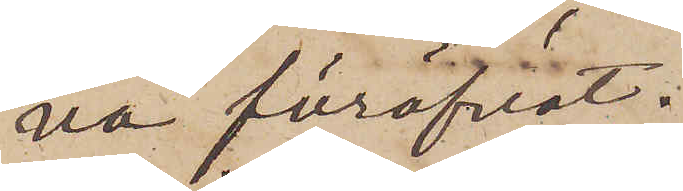va föröfvat.
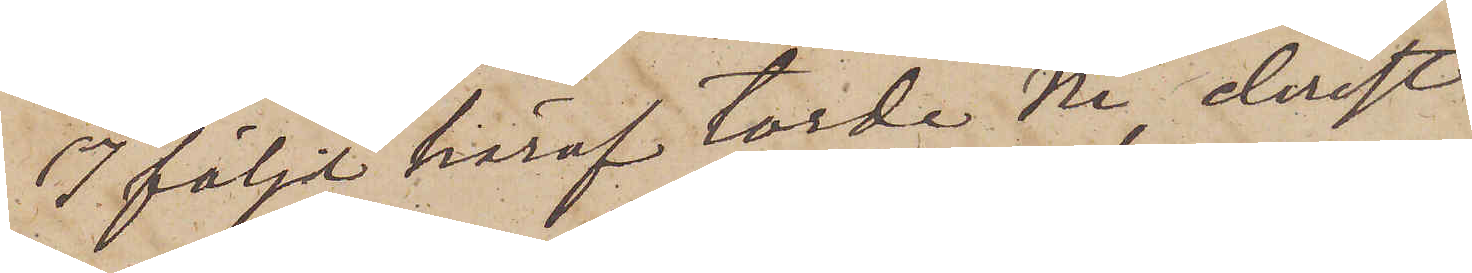I följd häraf torde Ni, derest
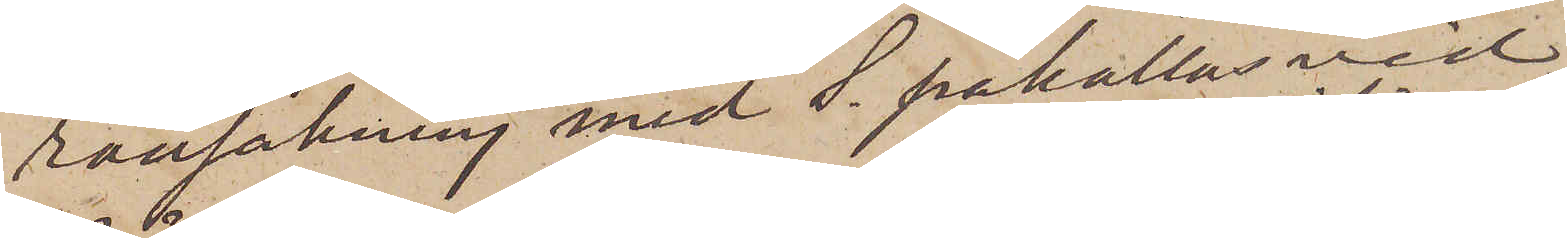ransakning med S. påkallas vid
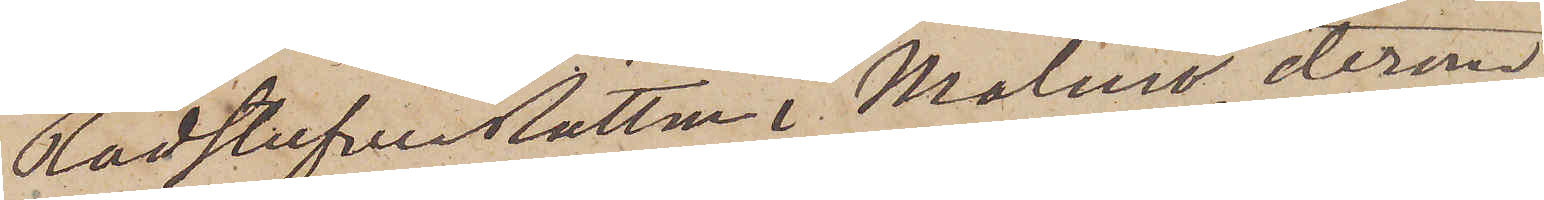RådstufvuRätten i Malmö, derom
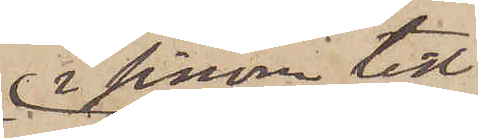i sinom tid
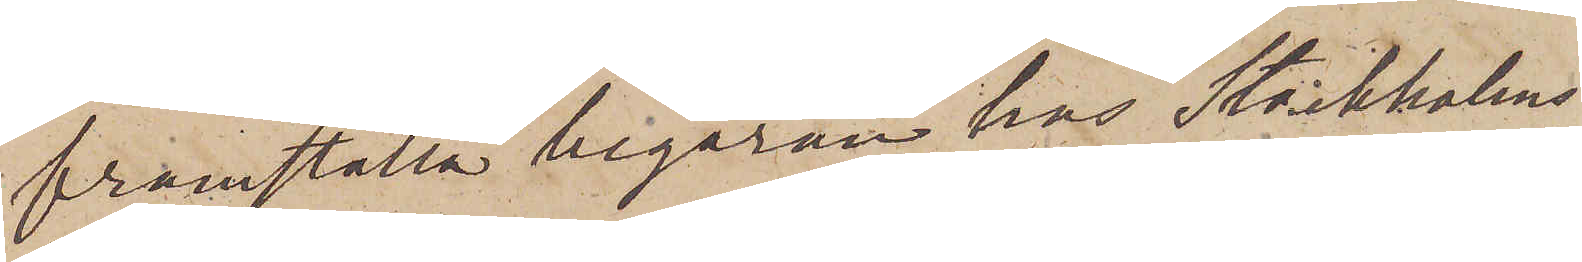framställa begäran hos Stockholms
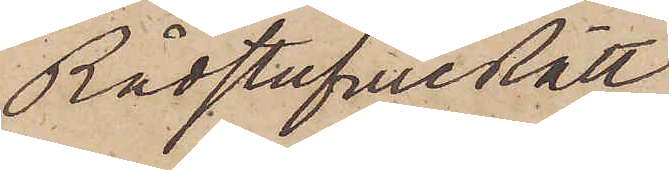RådstufvueRätt.
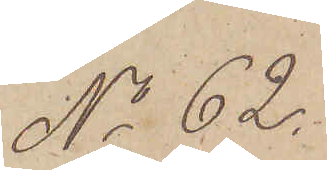No 62.
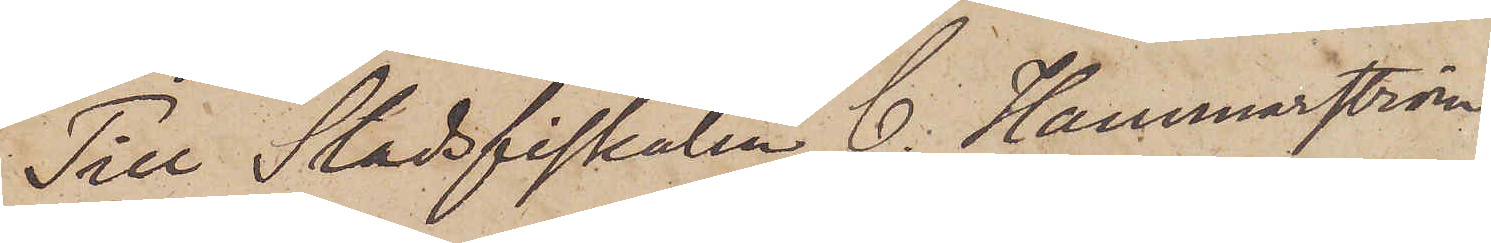Till Stadsfiskalen C. Hammarström,
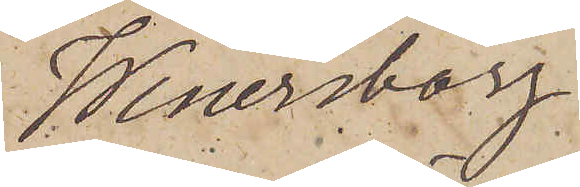Wenersborg.
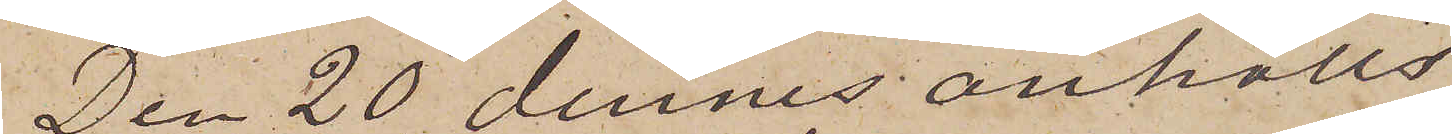Den 20 dennes anhölls
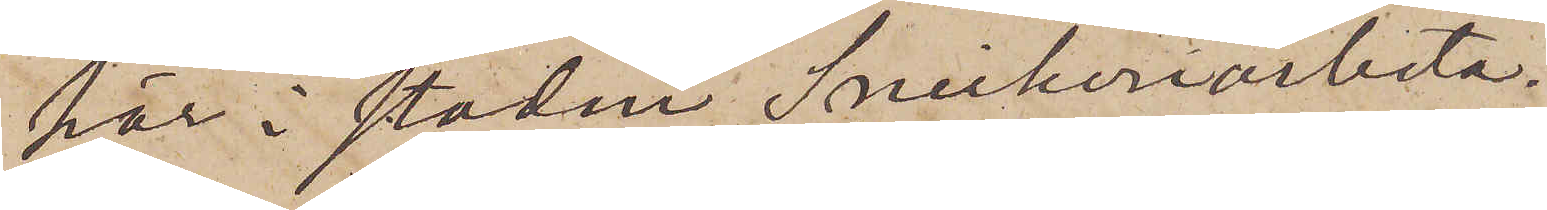här i staden Snickeriarbeta¬
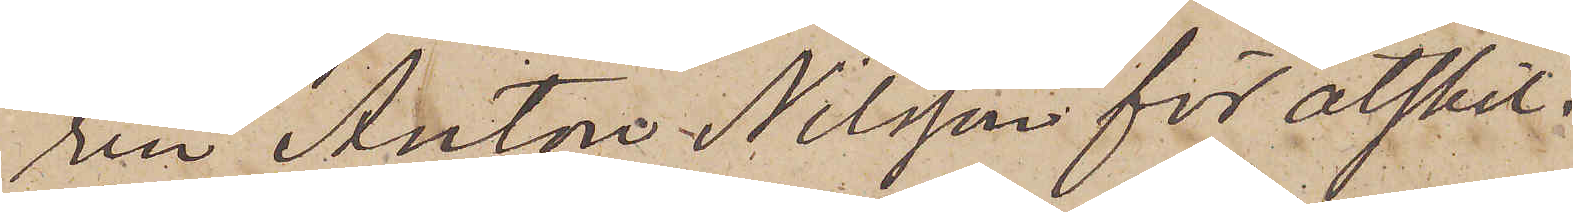ren Anton Nilsson för åtskil¬
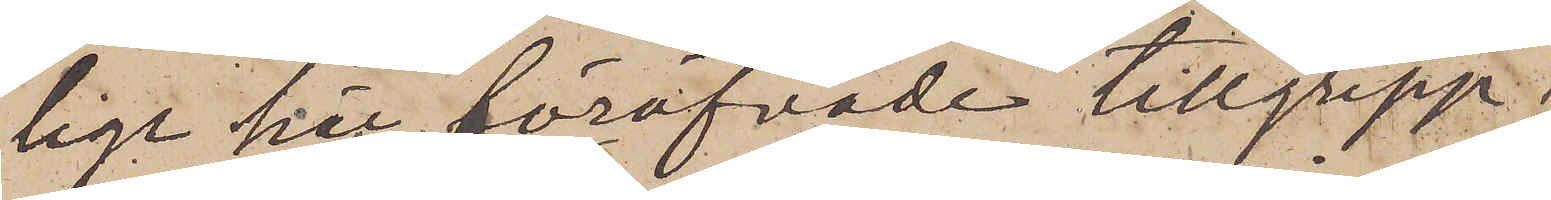lige här föröfvade tillgrepp;
